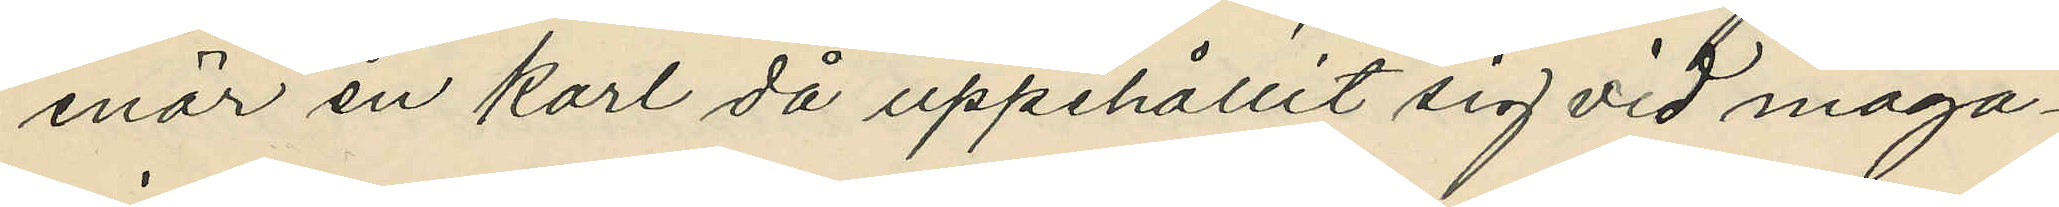enär en karl då uppehållit sig vid maga¬
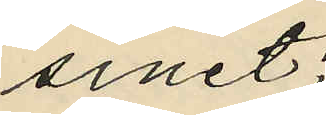sinet;
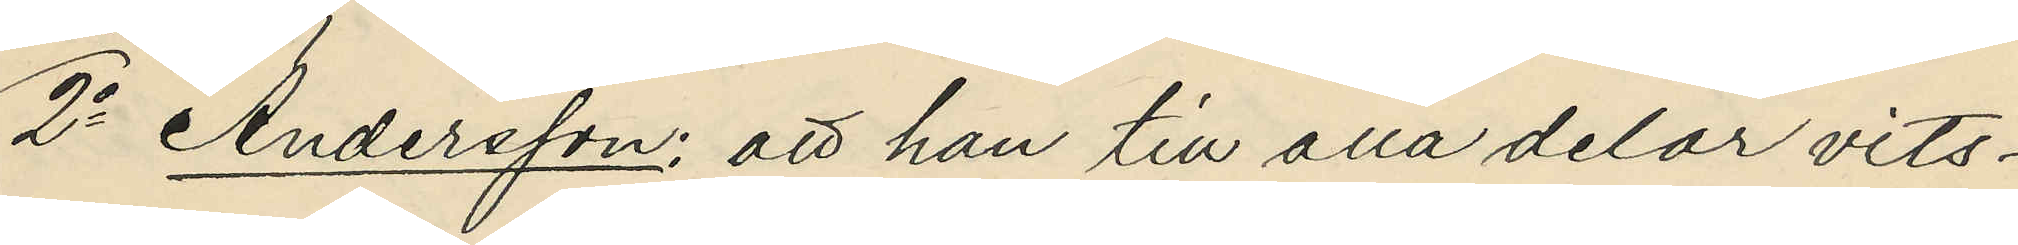2o Andersson: att han till alla delar vits¬
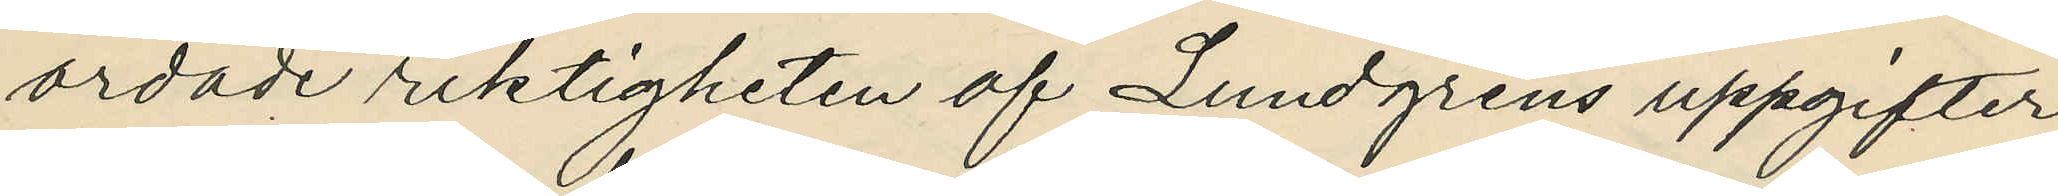ordade riktigheten af Lundgrens uppgifter
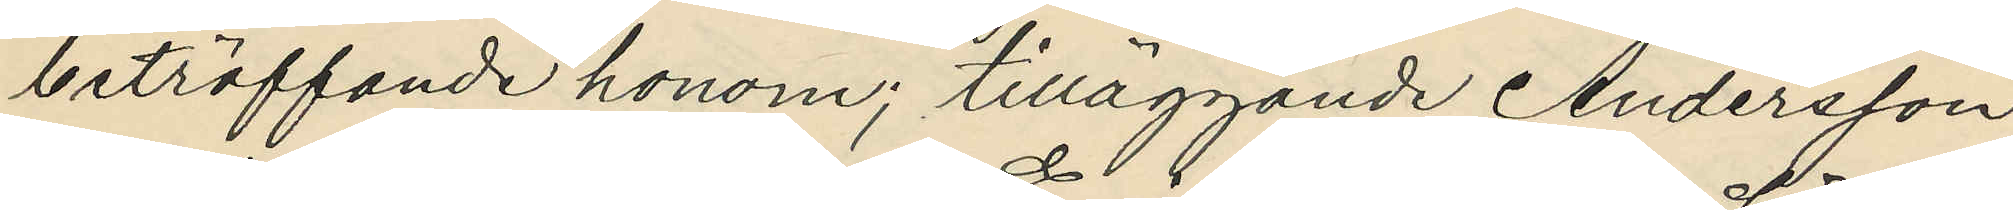beträffande honom; tilläggande Andersson
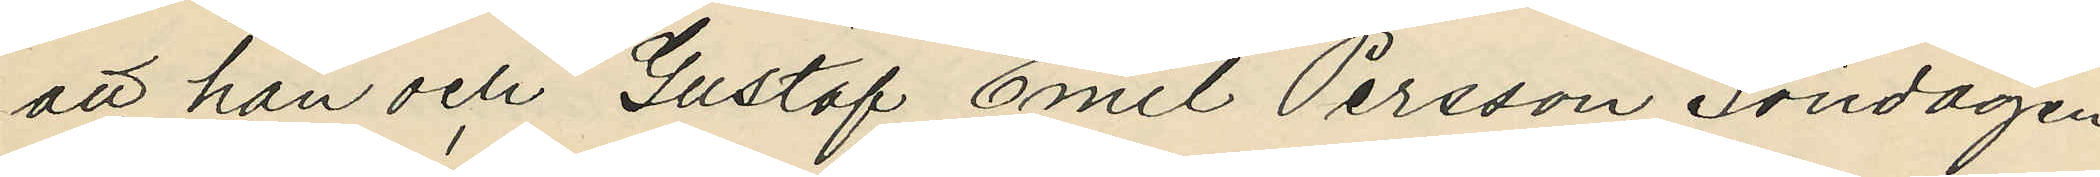att han och Gustaf Emil Persson Söndagen
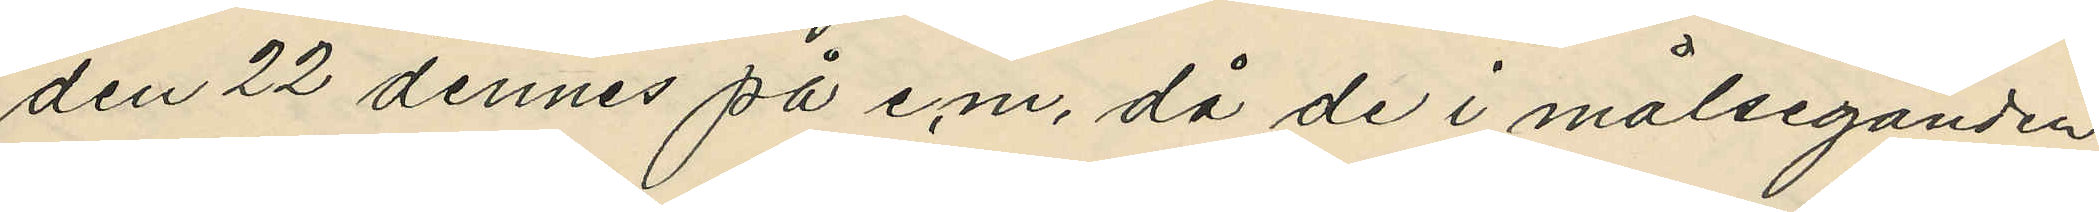den 22 dennes på e.m. då de i målseganden
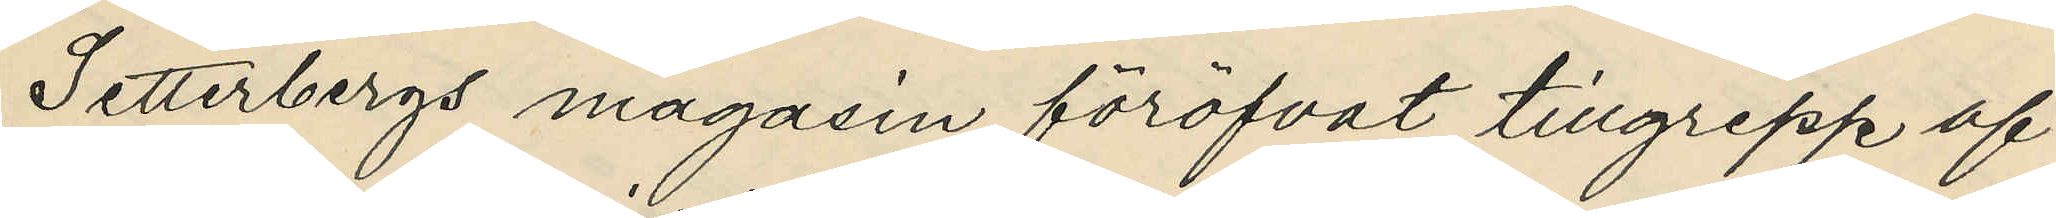Setterbergs magasin föröfvat tillgrepp af
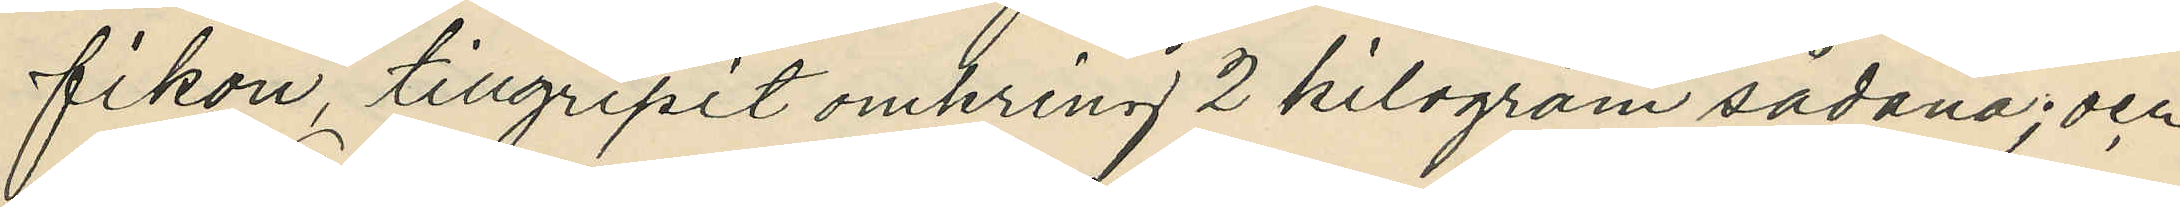fikon, tillgripit omkring 2 kilogram sådana; och
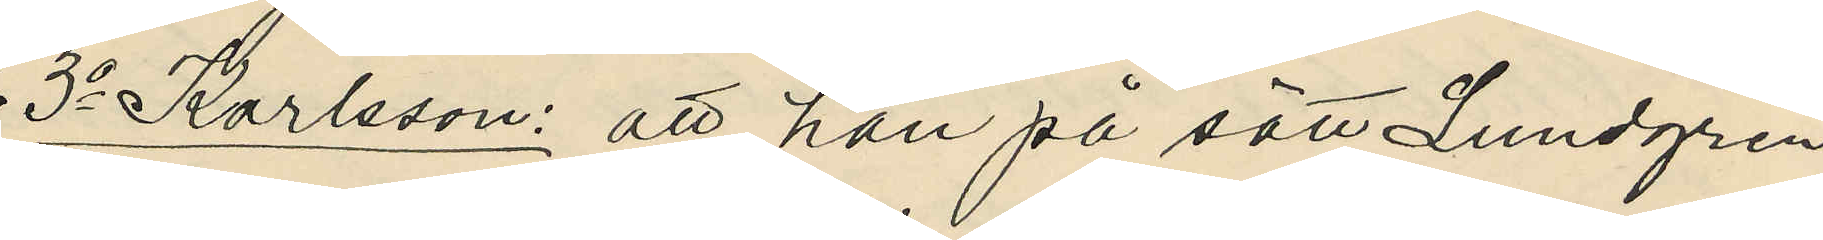3o Karlsson: att han på sätt Lundgren
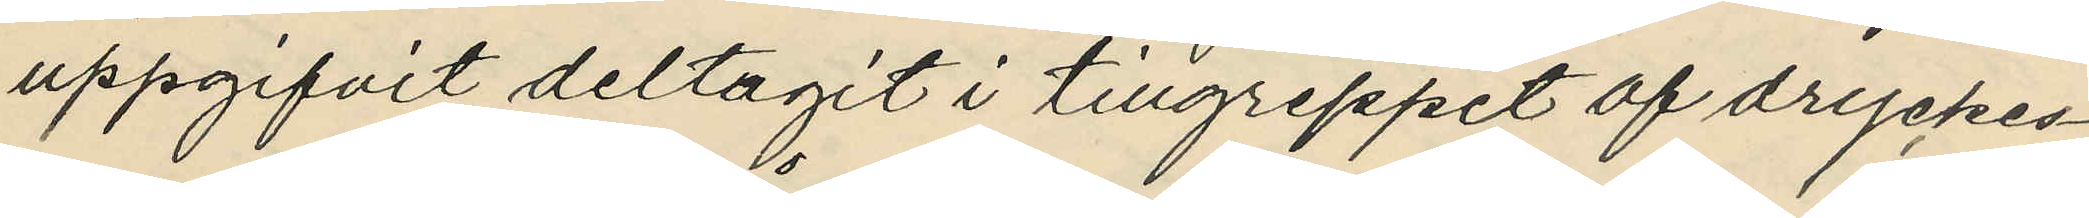uppgifvit deltagit i tillgreppet af dryckes¬
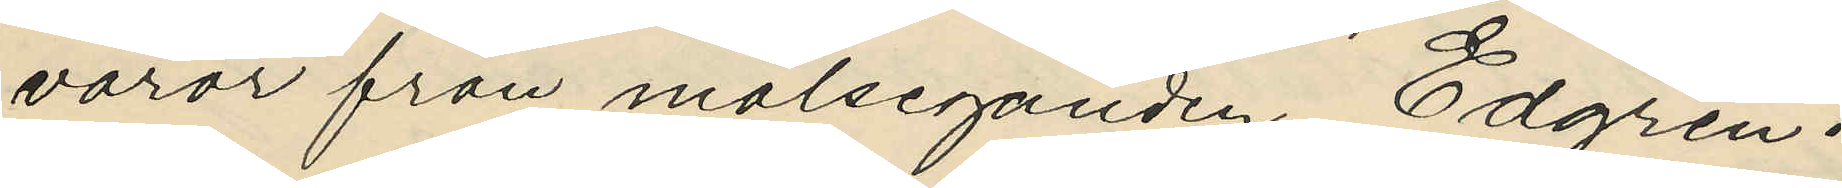varor från målseganden Edgren.
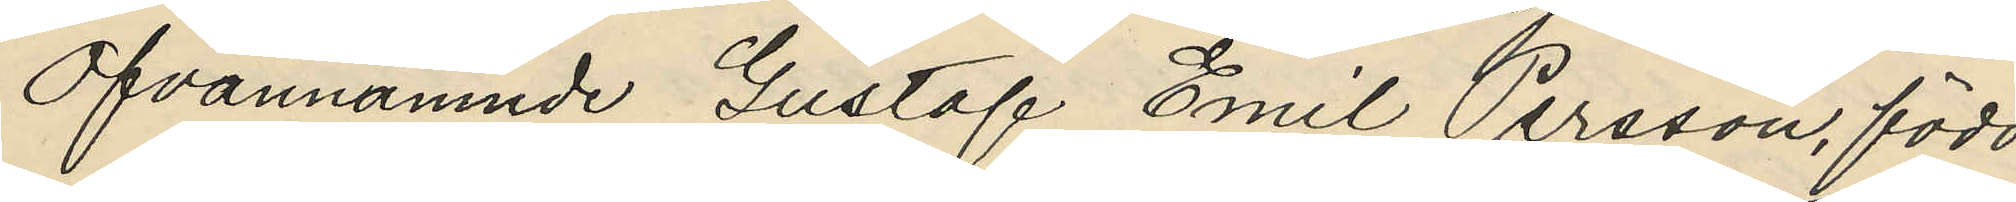Ofvannämnde Gustaf Emil Persson, född
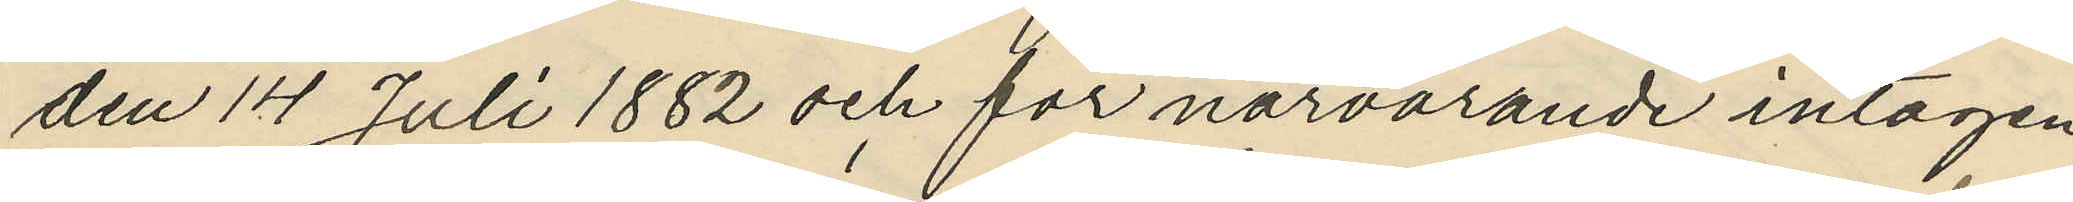den 14 Juli 1882 och för närvarande intagen
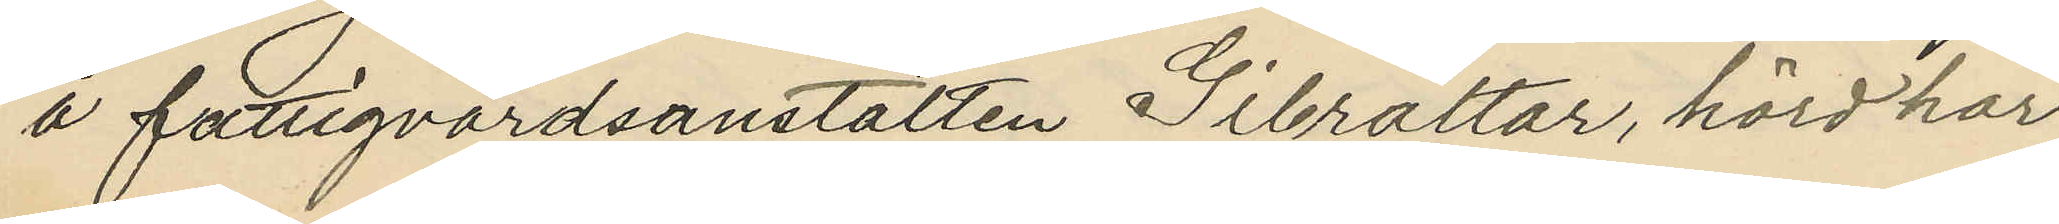å fattigvårdsanstalten Gibraltar, hörd har
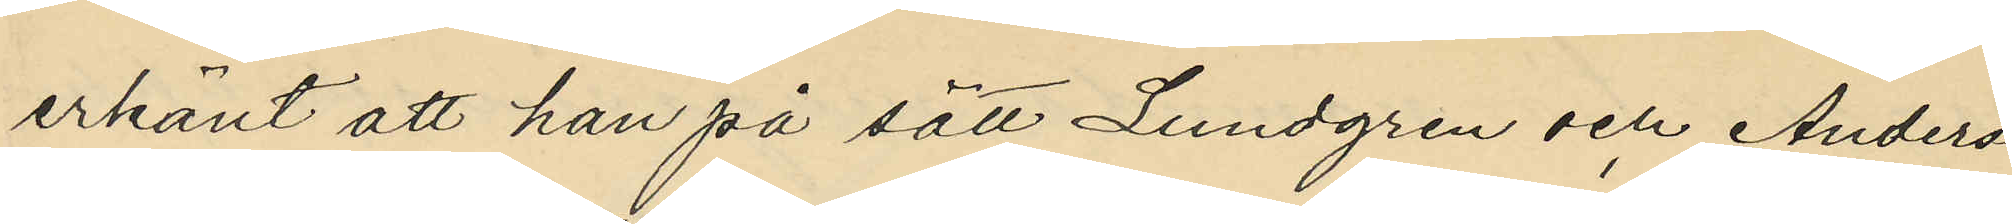erkänt att han på sätt Lundgren och Anders¬
